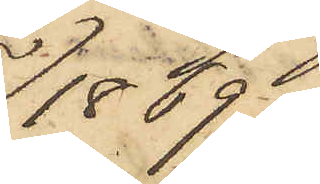1869.
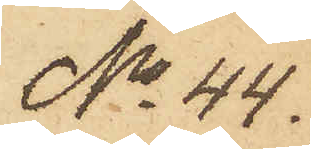No 44.
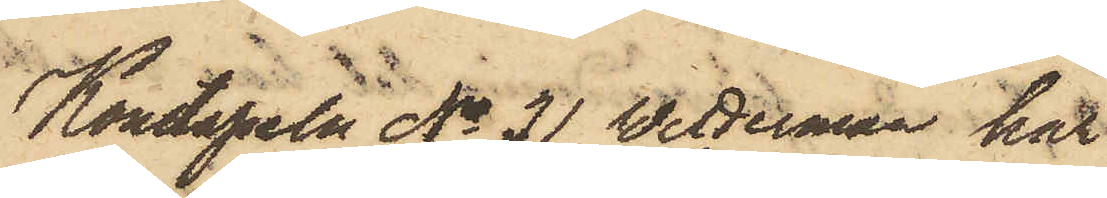Konstapeln No 31 Wetterman har
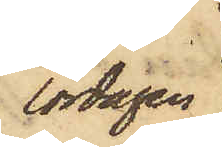lördagen
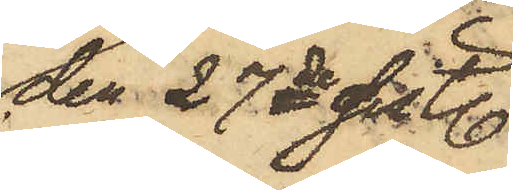den 27de sistl.
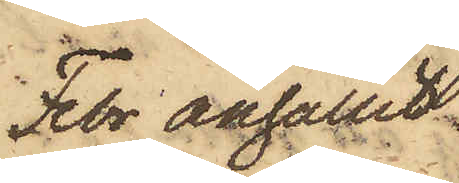Febr anhållit
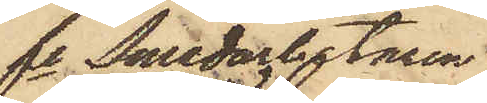fe Smedarbetaren
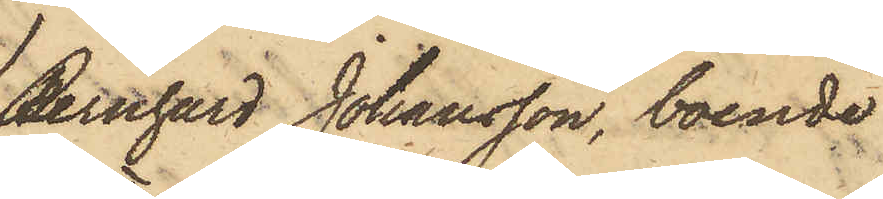Bernhard Johansson, boende
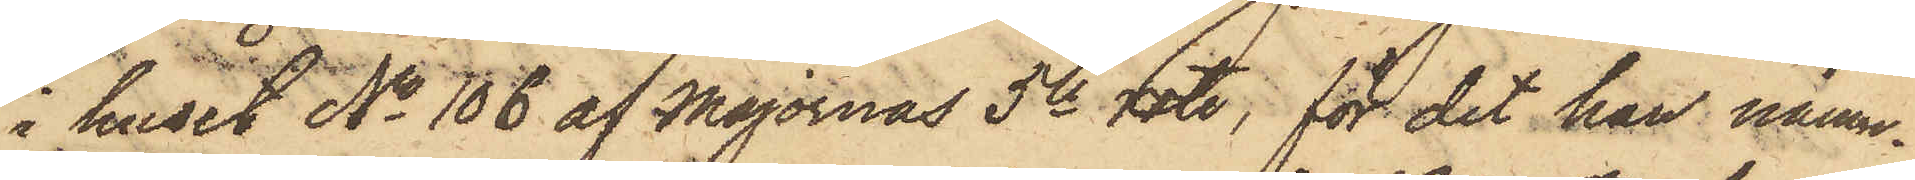i huset No 106 af Majornas 5te rote; för det han nämn¬
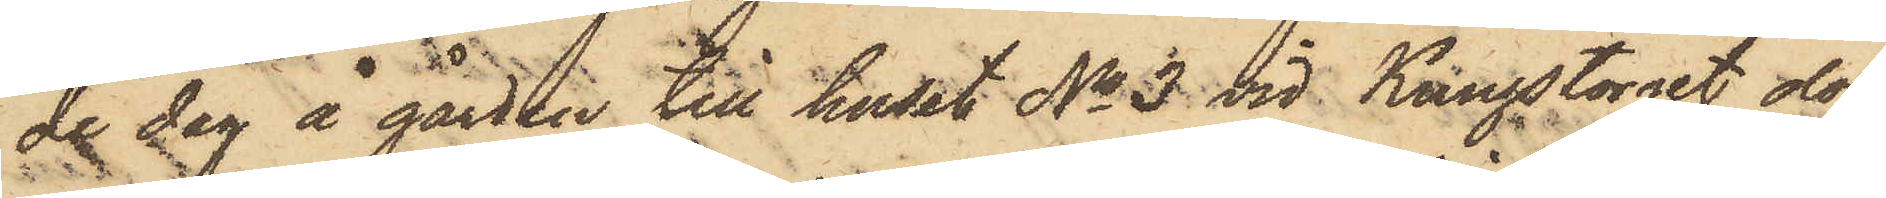de dag å gården till huset No 3 vid Kungstorget olof¬
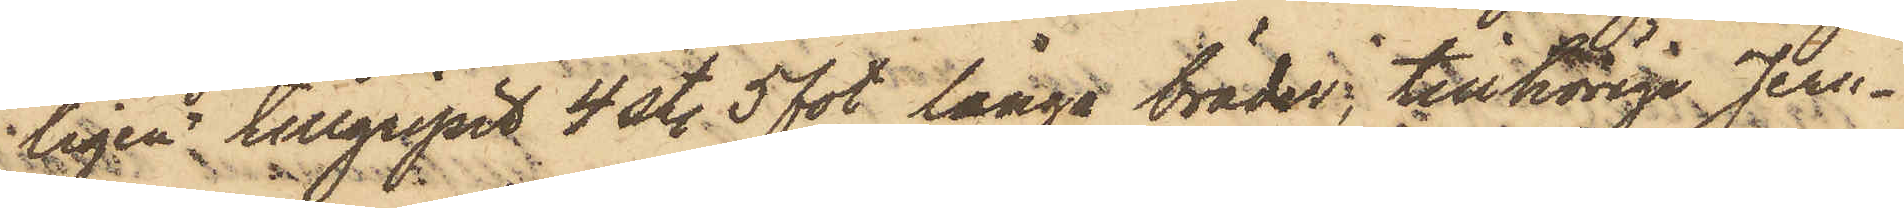ligen tillgripit 4 st. 5 fot långa bräder, tillhörige Jern¬
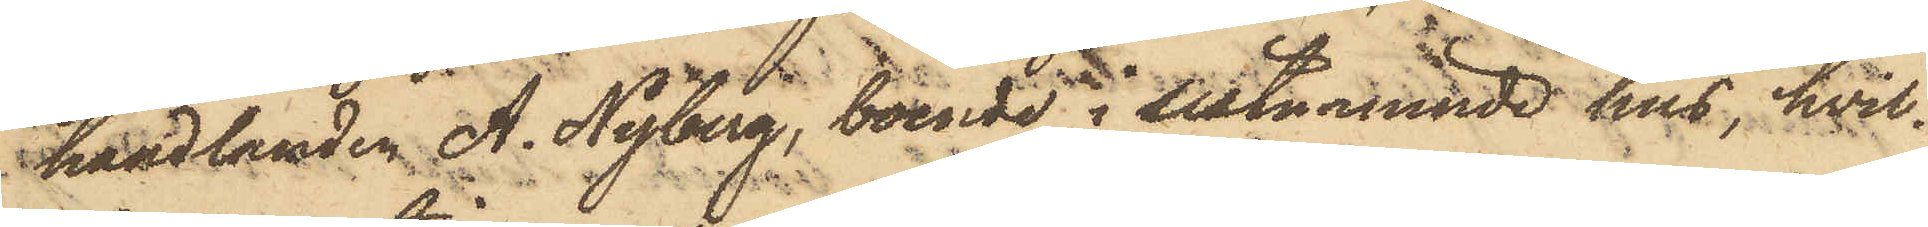handlanden A. Nyberg, boende i sistnämnde hus, hvil¬
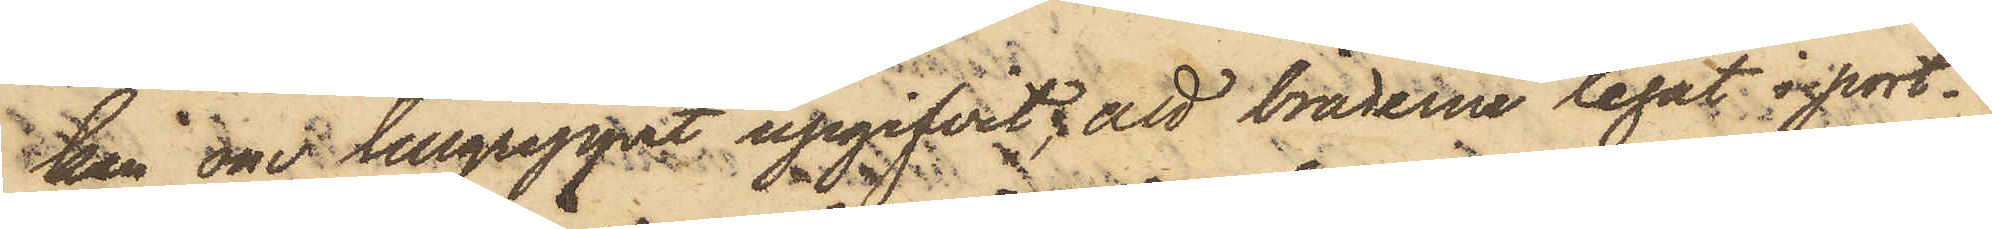ken om tillgreppet upgifvit: att bräderne legat i port
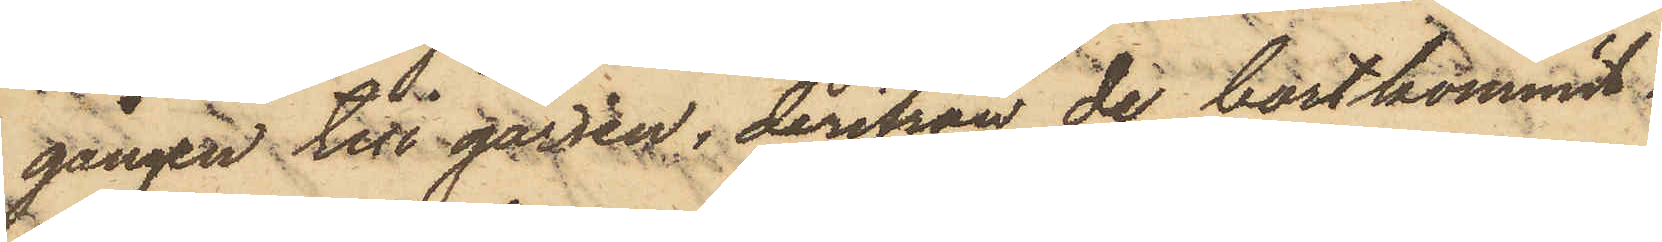gången till gården, derifrån de bortkommit.
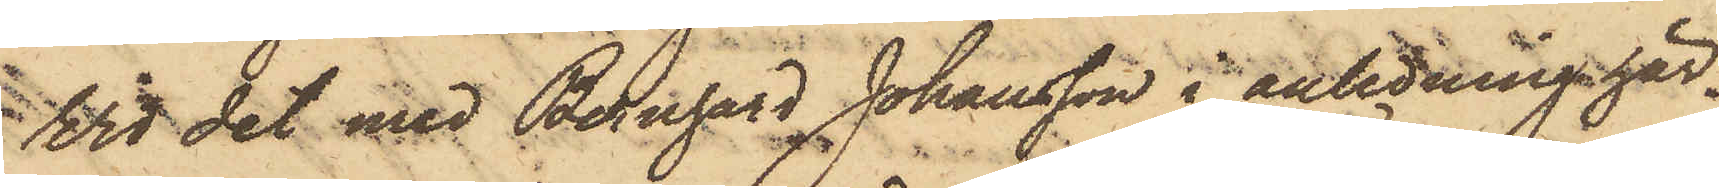Vid det med Bernhard Johansson i anledning här¬
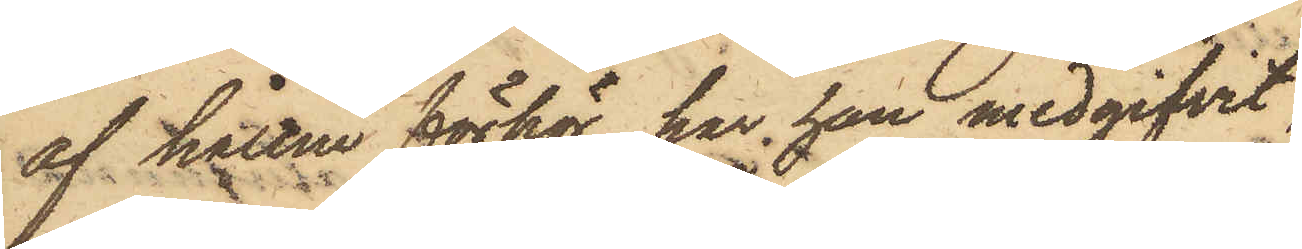af hållne förhör, har han medgifvit,
